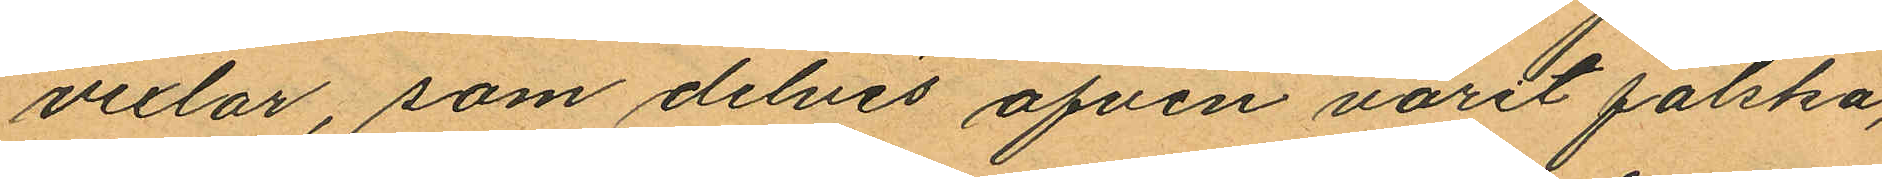vexlar, som delvis äfven varit falska,
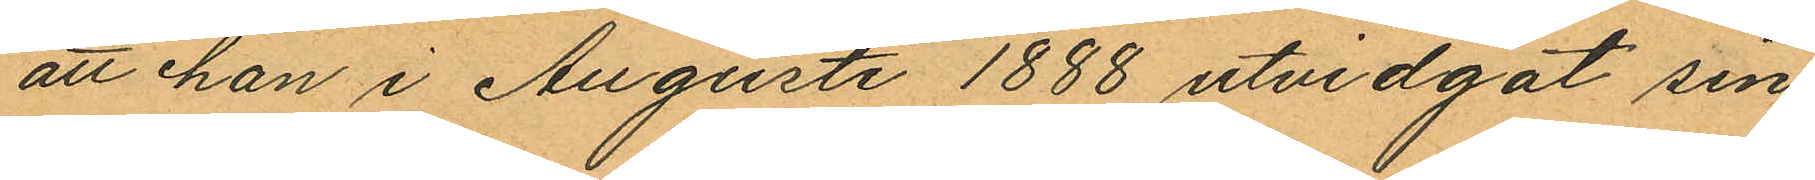att han i Augusti 1888 utvidgat sin
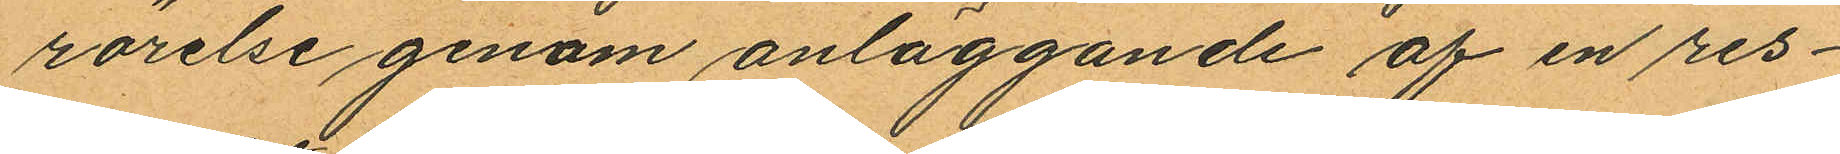rörelse genom anläggande af en res¬
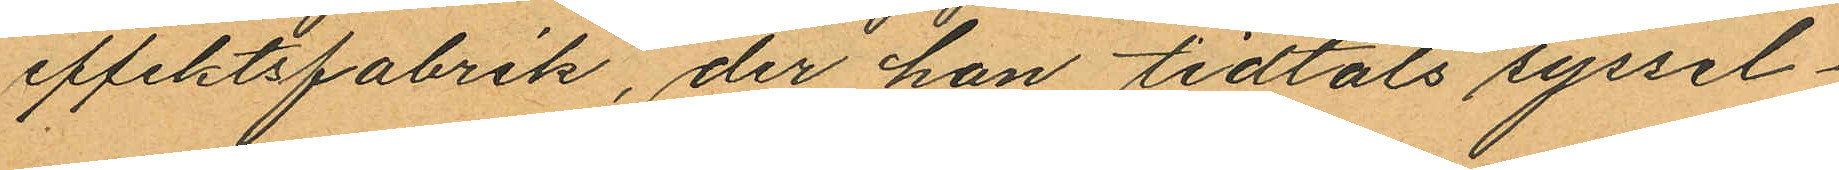effektsfabrik, der han tidtals syssel¬
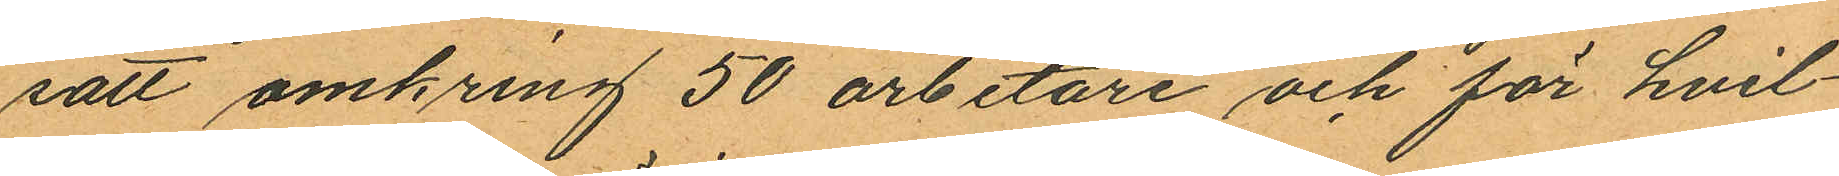satt omkring 50 arbetare och för hvil¬
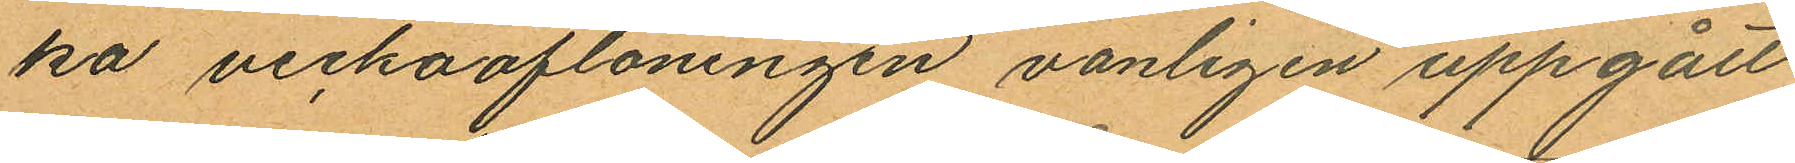ka veckoaflöningen vanligen uppgått
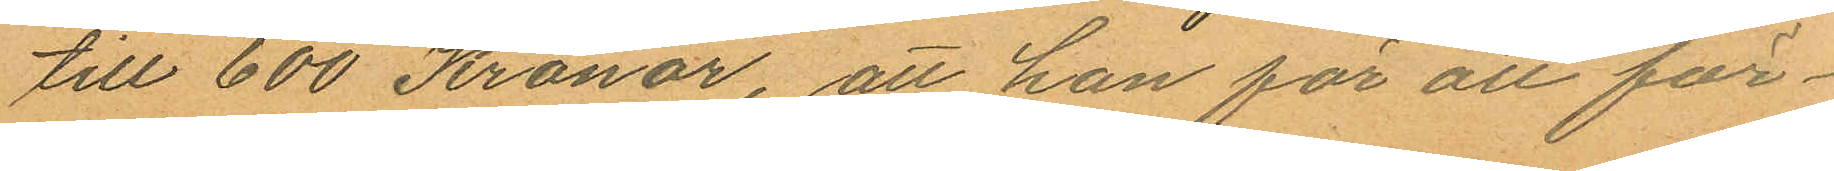till 600 Kronor, att han för att för¬
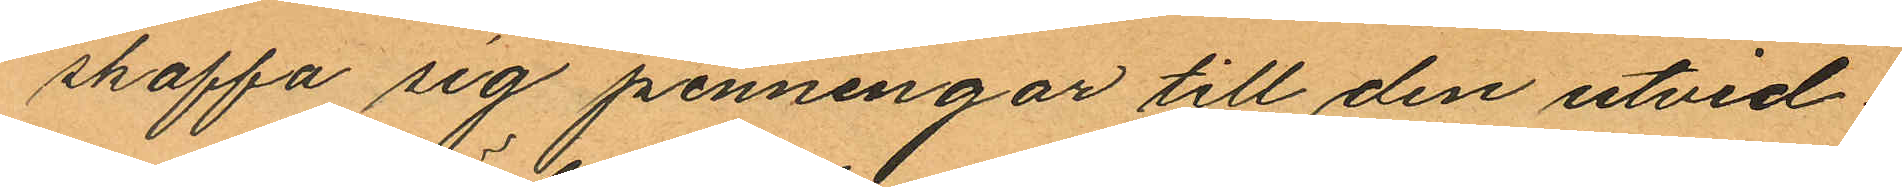skaffa sig penningar till den utvid¬
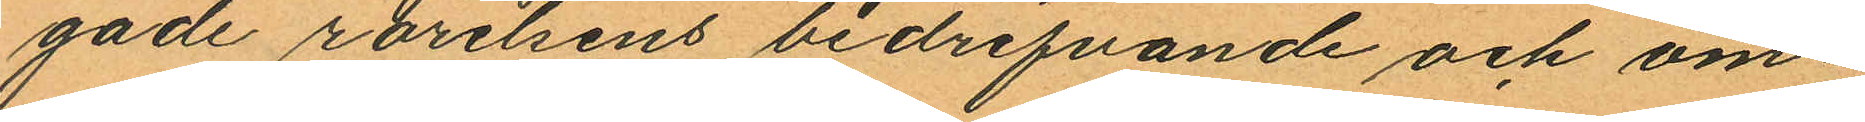gade rörelsens bedrifvande och om
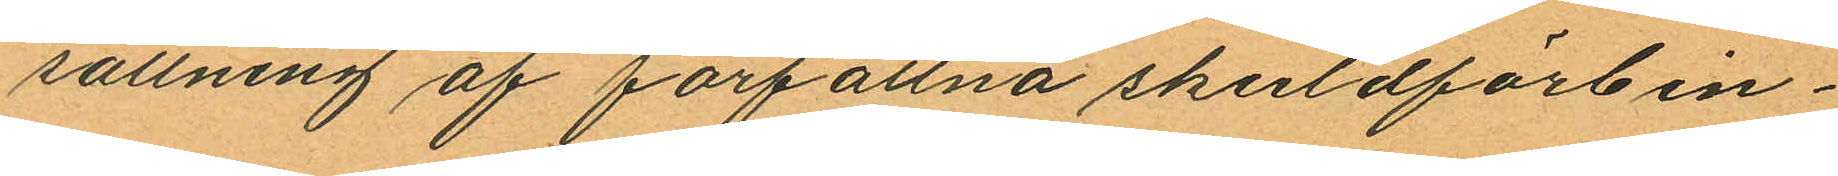sättning af förfallna skuldförbin¬
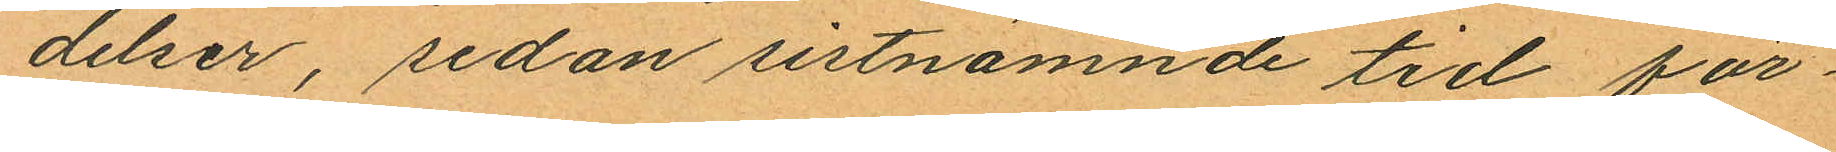delser, sedan sistnämnde tid för¬
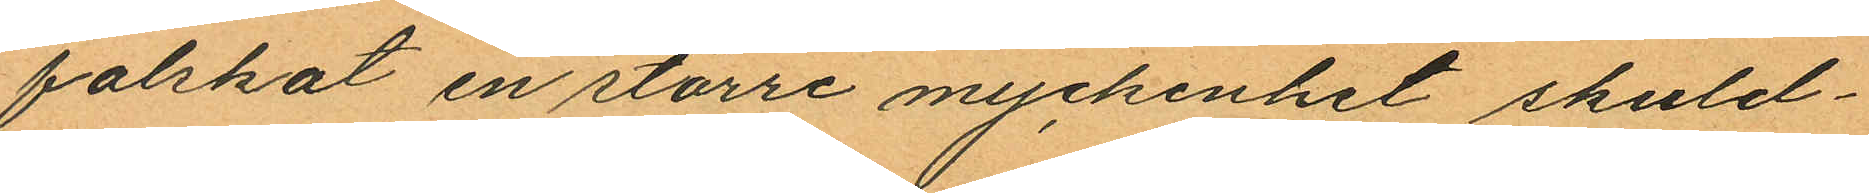falskat en större myckenhet skuld¬
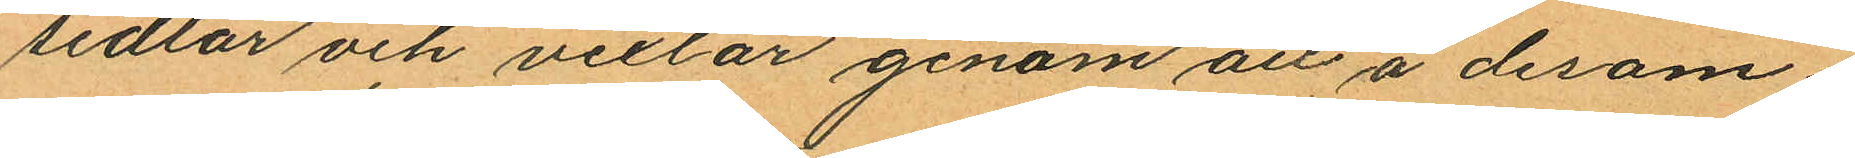sedlar och vexlar genom att å desam¬
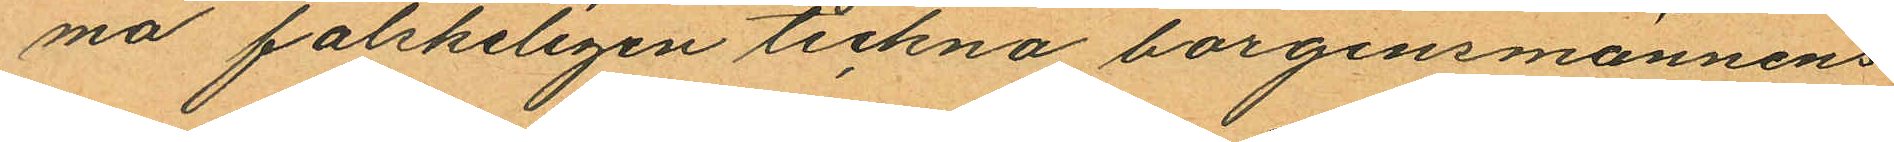ma falskeligen teckna borgensmännens
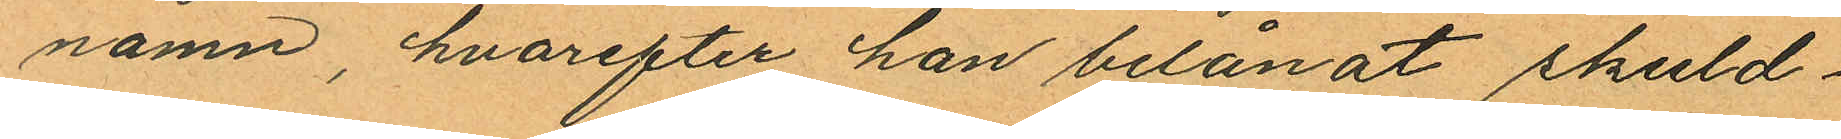namn, hvarefter han belånat skuld¬
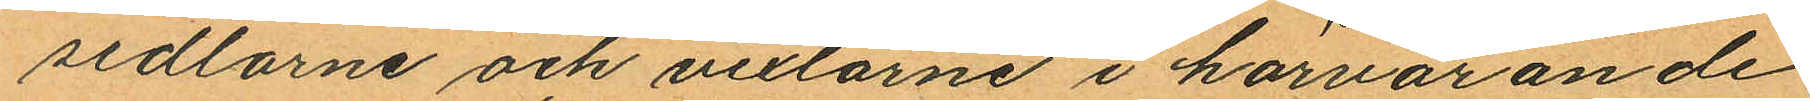sedlarne och vexlarne i härvarande
